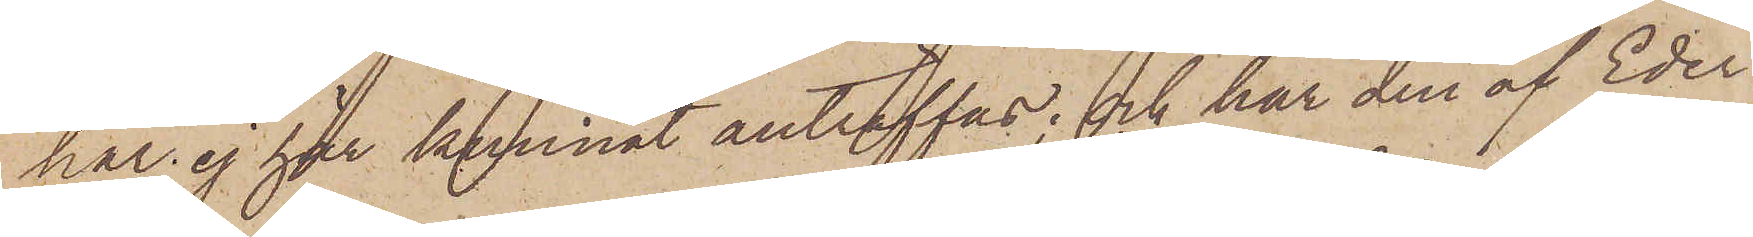har ej här kunnat anträffas; och har den af Eder
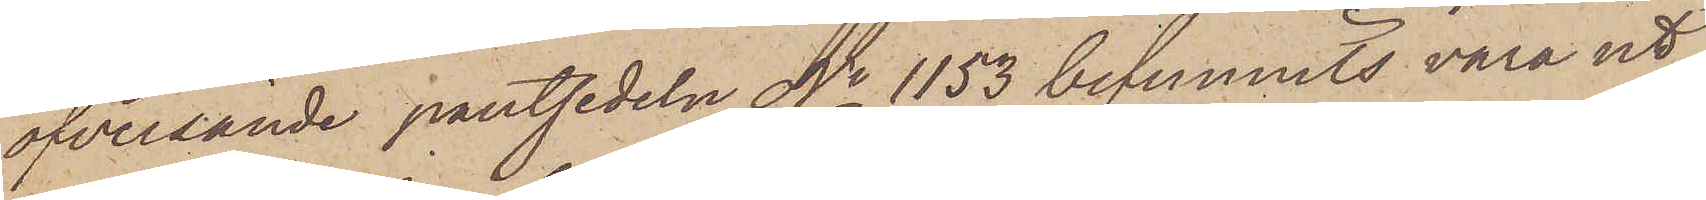öfversände pantsedeln No 1153 befunnits vara ut¬
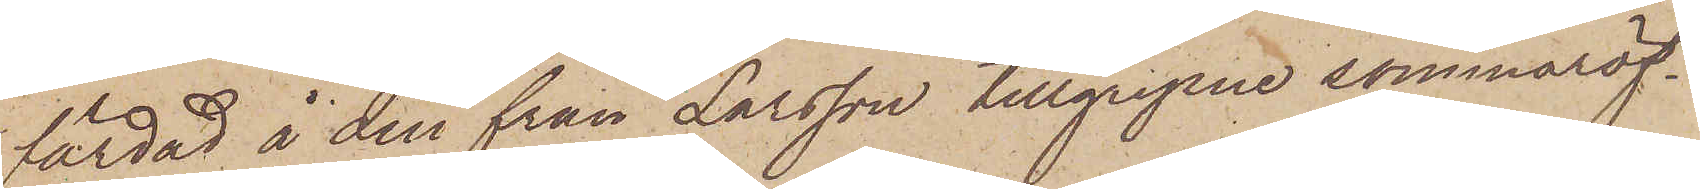färdad å den från Larsson tillgripne sommaröf¬
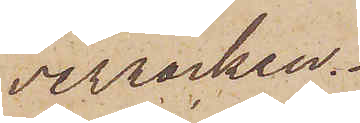verrocken.
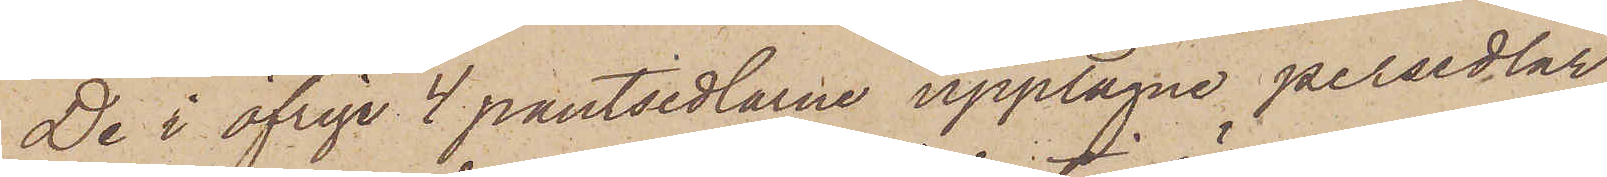De i öfrige 4 pantsedlarne upptagne persedlar
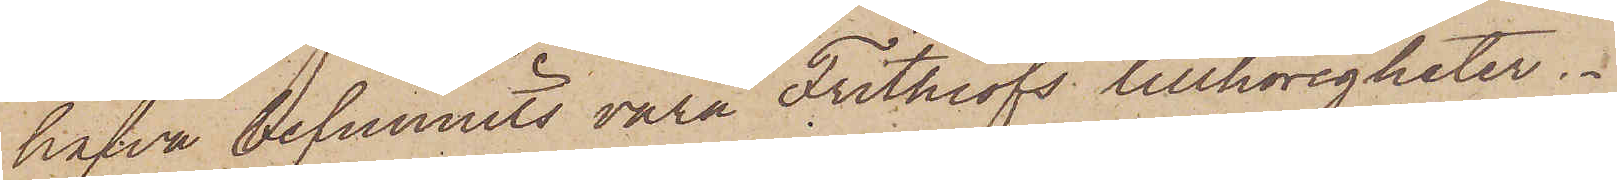hafva befunnits vara Frithiofs tillhörigheter.
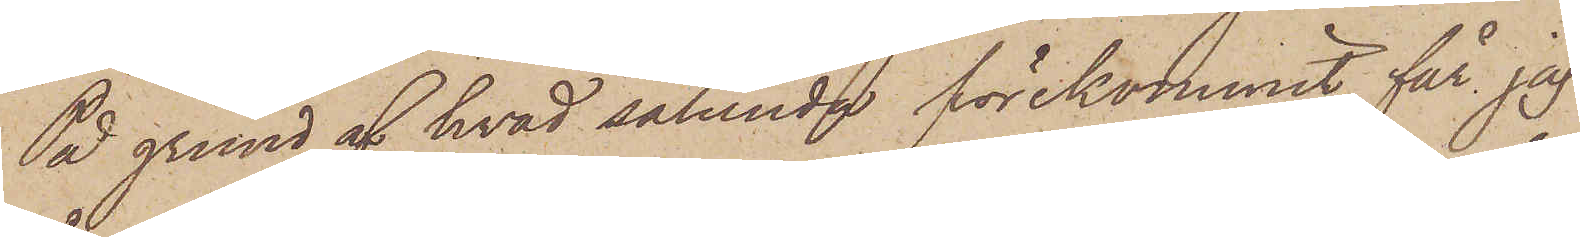På grund af hvad sålunda förekommit, får jag
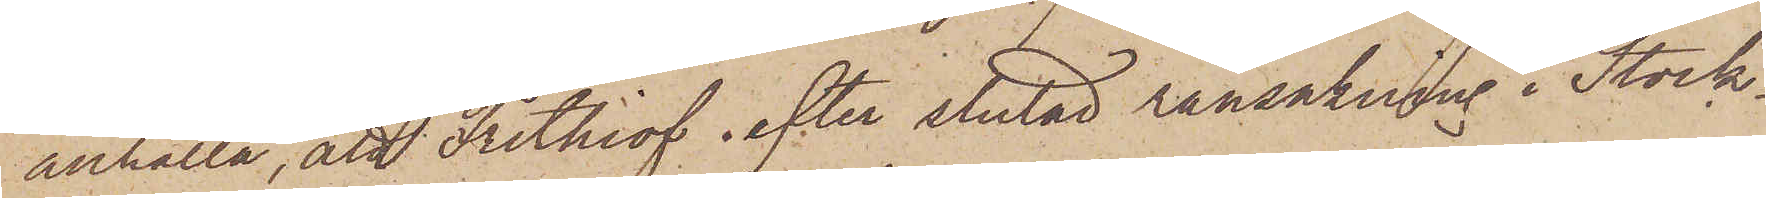anhålla, att Frithiof efter slutad ransakning i Stock¬
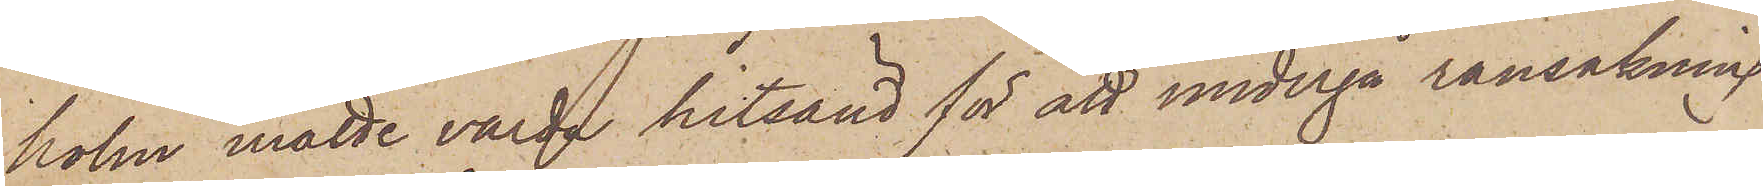holm måtte varda hitsänd för att undergå ransakning
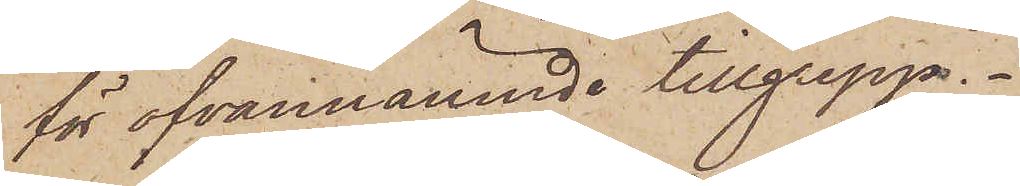för ofvannämnde tillgrepp.
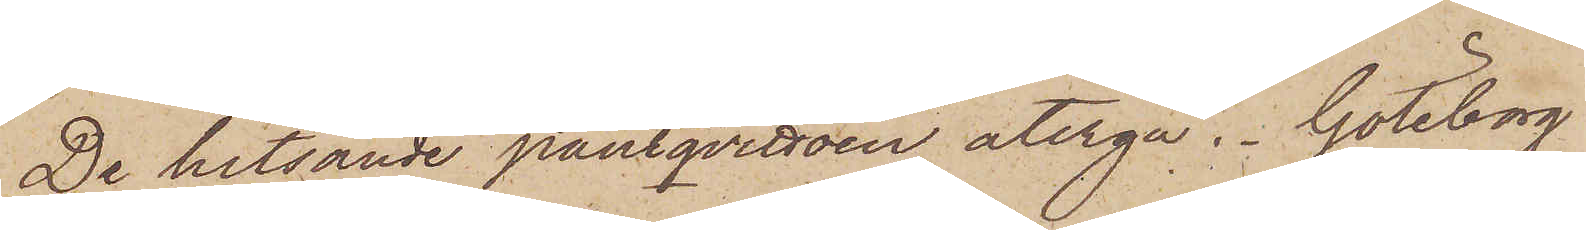De hitsände pantqvittoen återgå. Göteborg
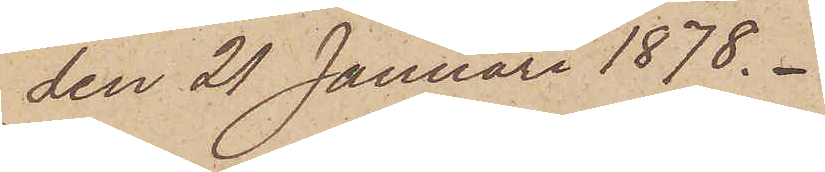den 21 Januari 1878.
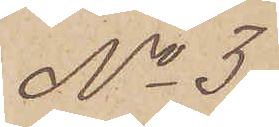No 3
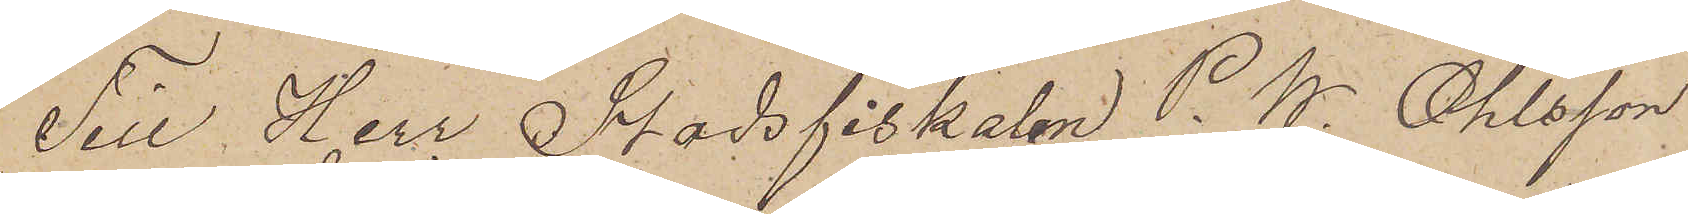Till Herr Stadsfiskalen P. W. Ohlsson
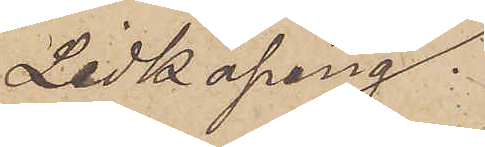Lidköping.
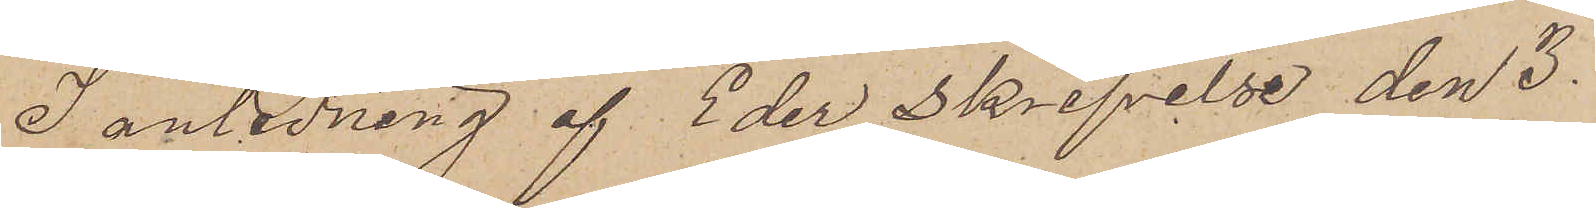I anledning af Eder Skrifvelse den 3.
